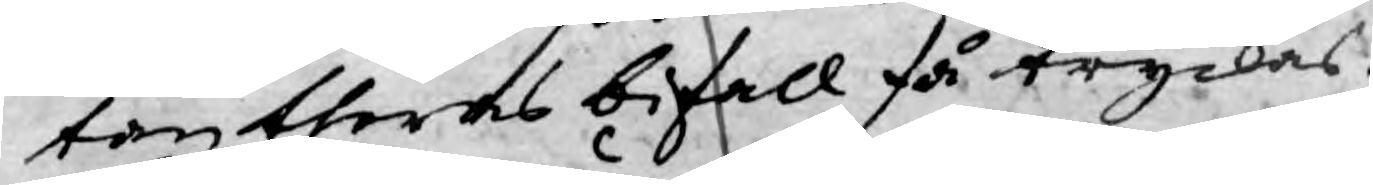tan theras bifall få tryckas.
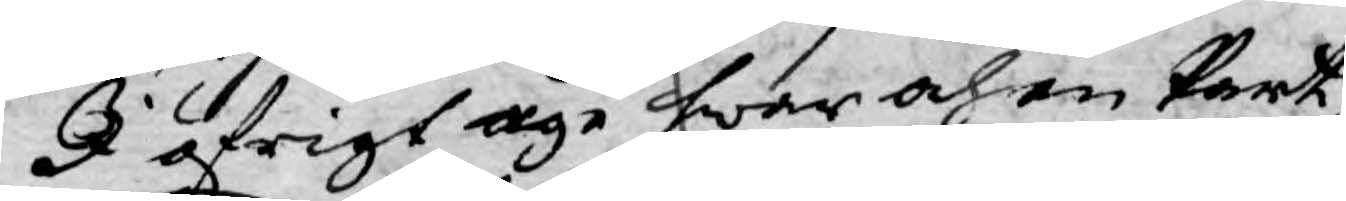I öfrigt äge hwar och en Part
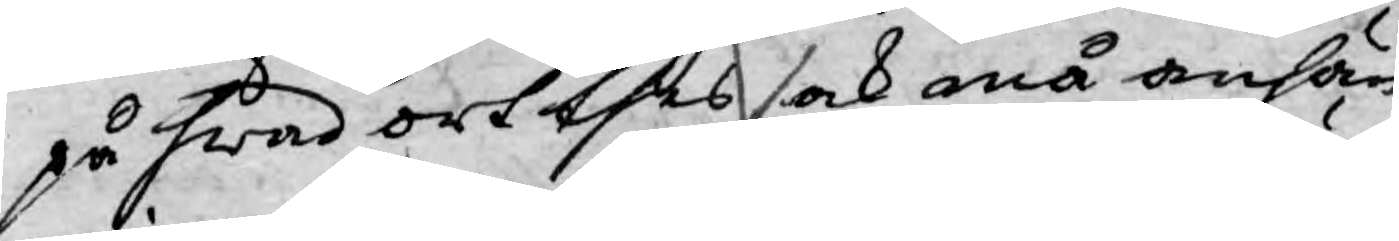på hwad ort thes sak må anhän¬
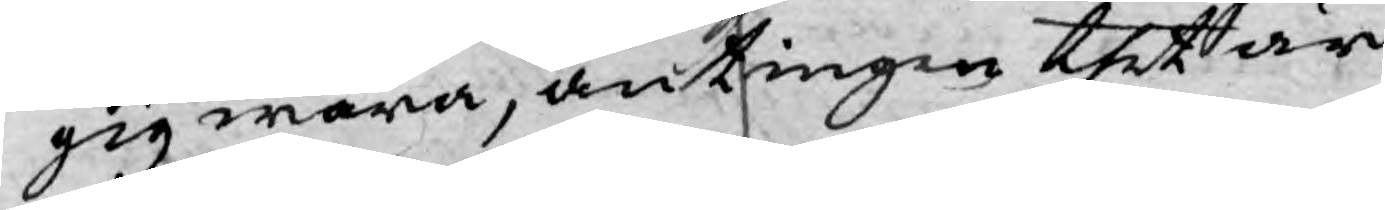gig wara, antingen thett är
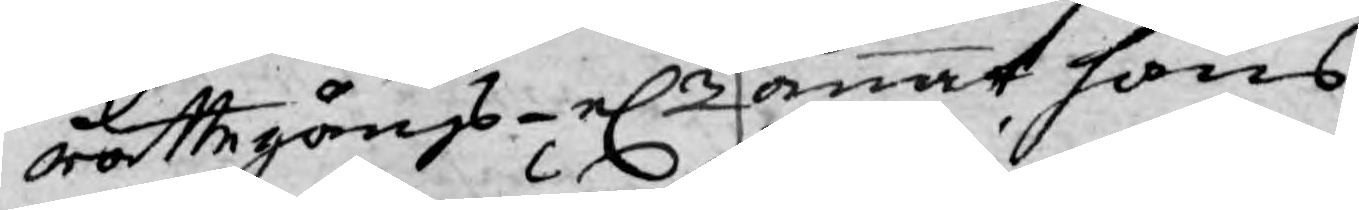rättegångs- el.r annat hans
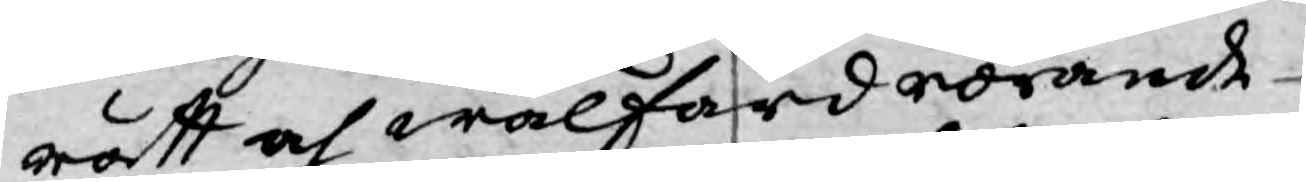rätt och wälfärd rörande
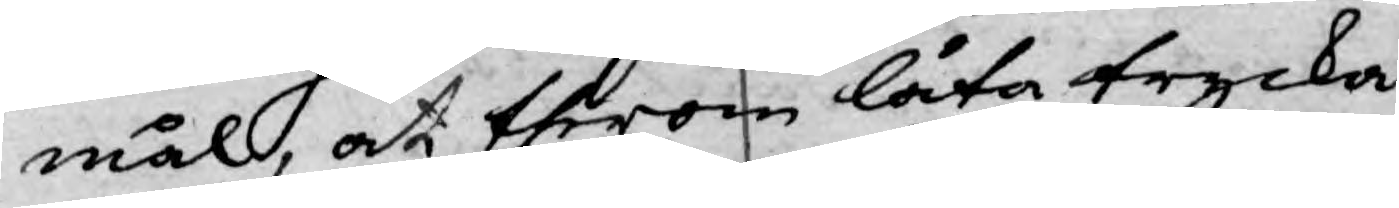mål, at therom låta trycka
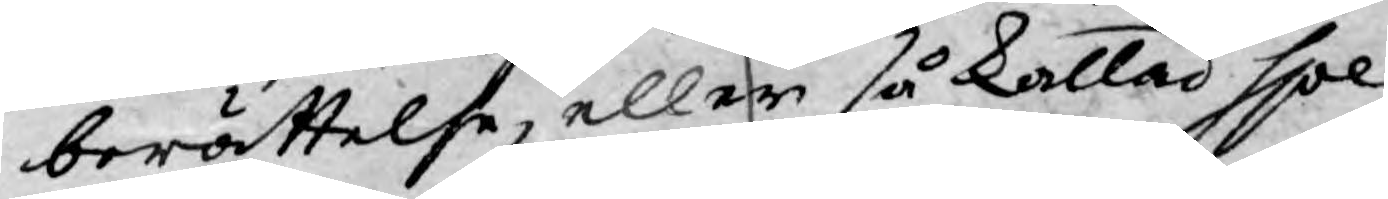berättelse, eller så kallad spe¬
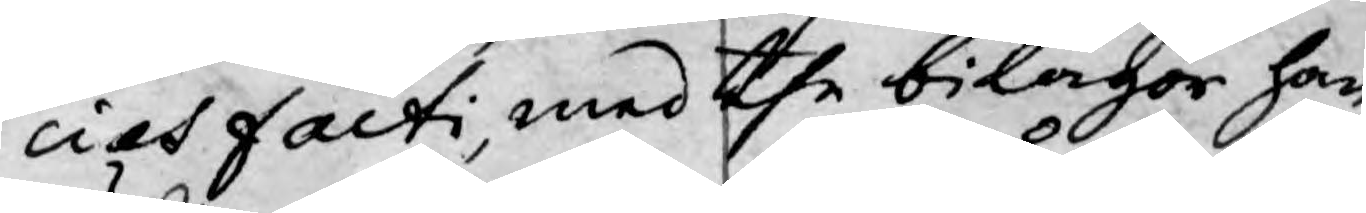cies facti, med the bilagor han
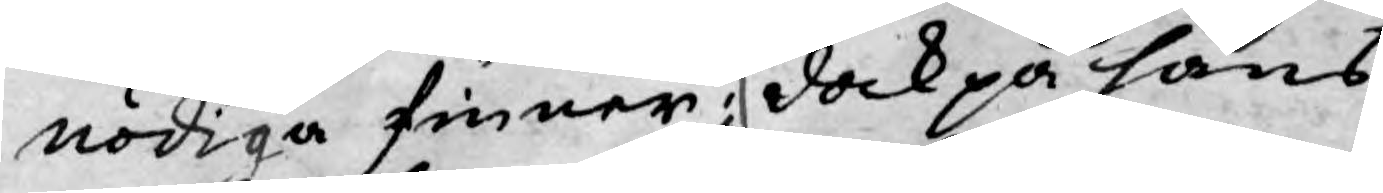nödiga finner; dock på hans
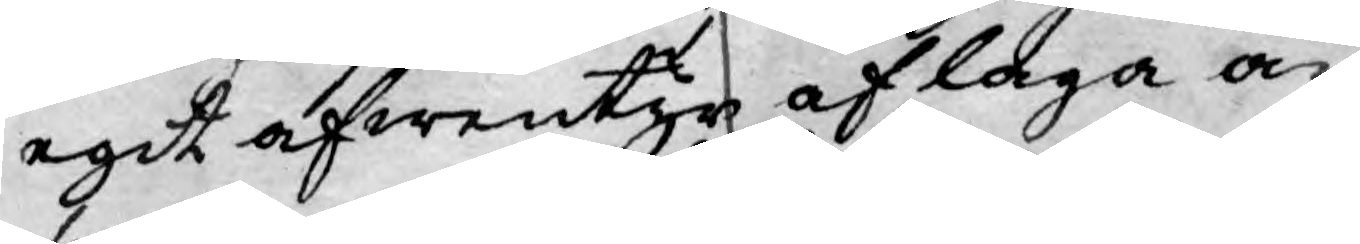egit äfwentyr af laga an¬
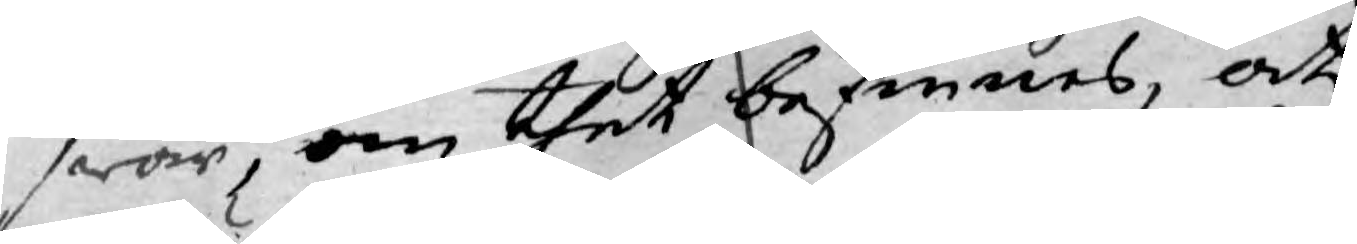swar, om thet befinnes, at
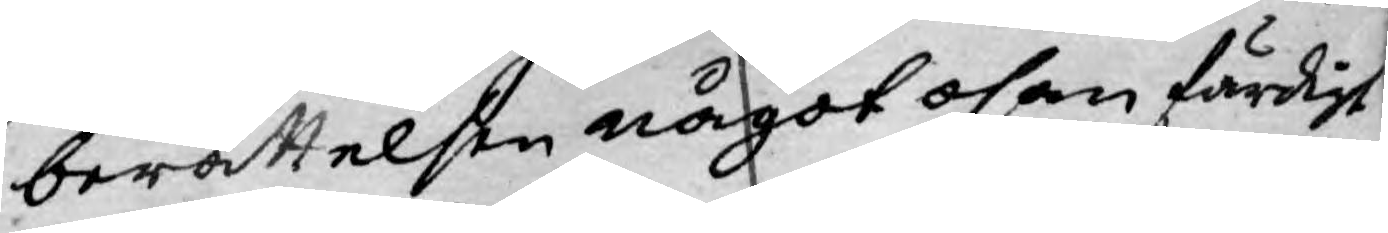berättelsen något osanfärdigt
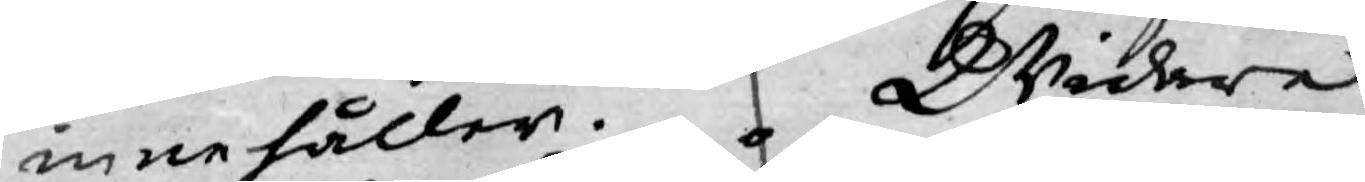innehåller. Widare
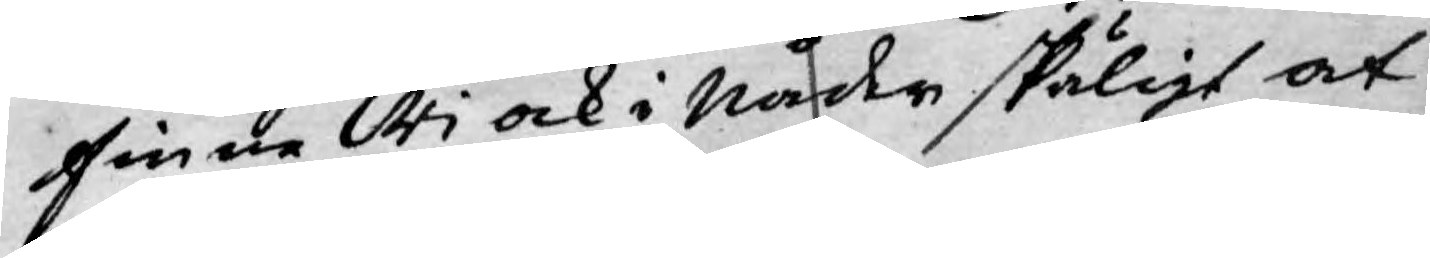finne Wi ock i Nåder skäligt at
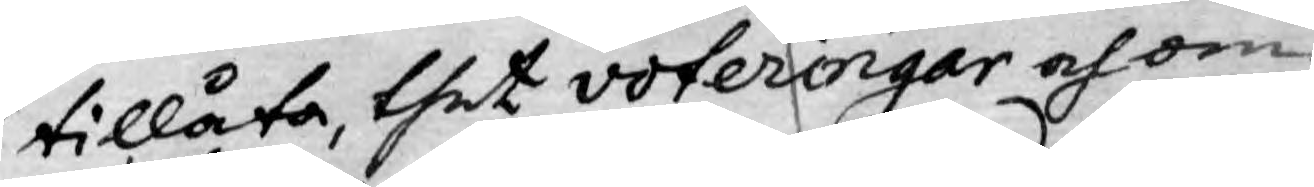tillåta, thet voteringar och om¬
